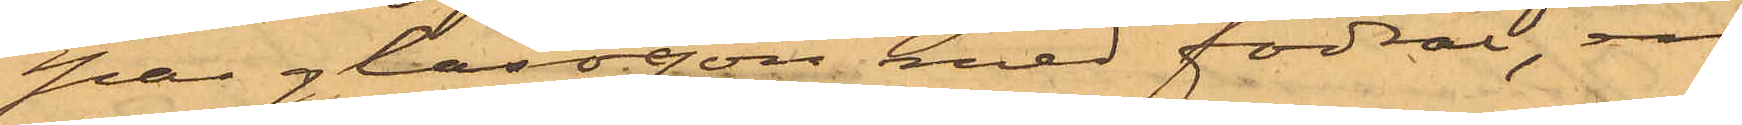par glasögon med fodral, en
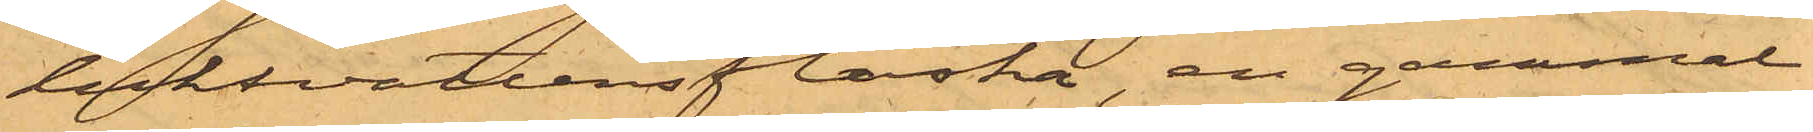luktvattensflaska, en gammal
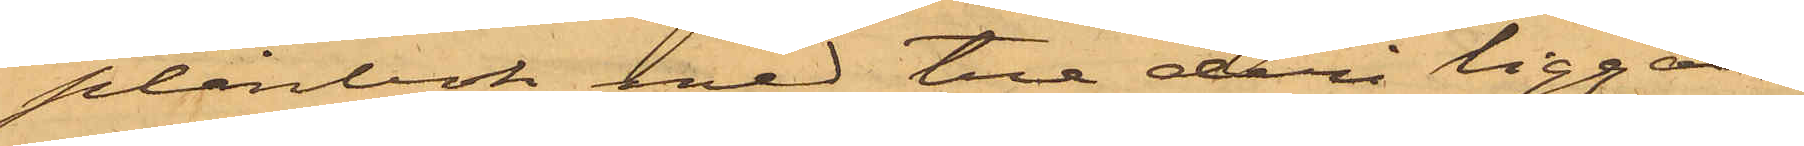plånbok med tre deri liggan¬
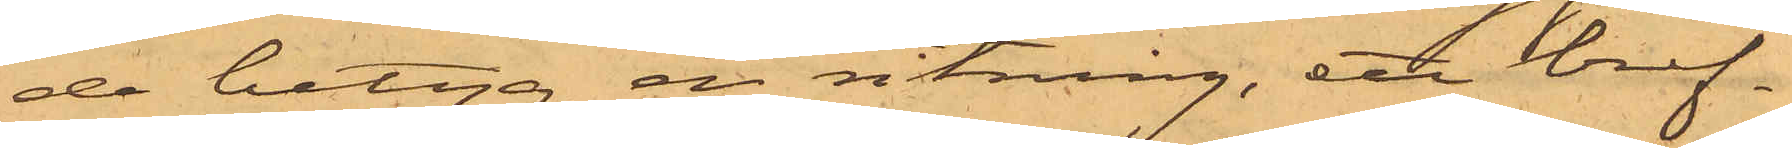de betyg, en ritning, ett bref¬
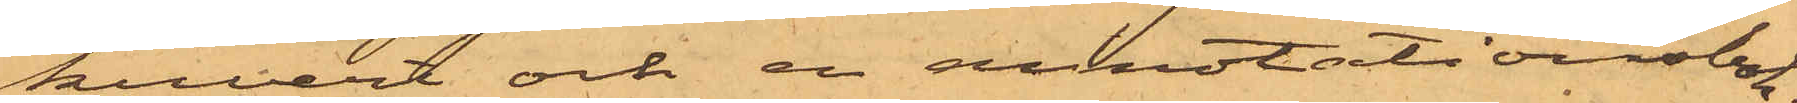kuvert och en annotationsbok;
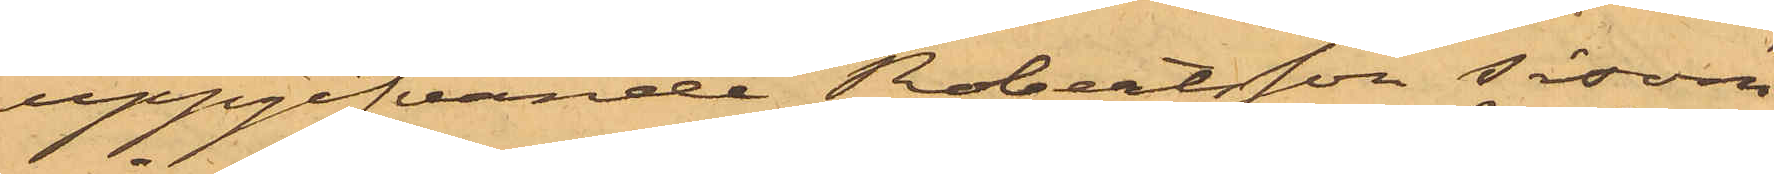uppgifvande Robertsson, såsom
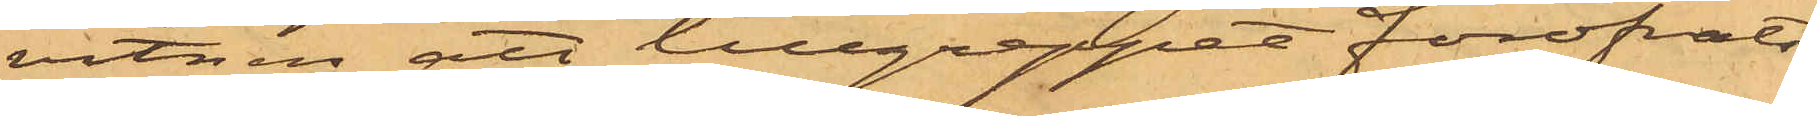vitnen att tillgreppet föröfvats
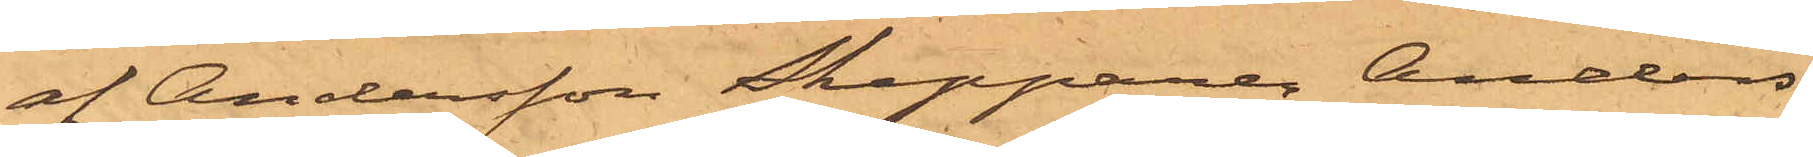af Andersson Skepparen Anders
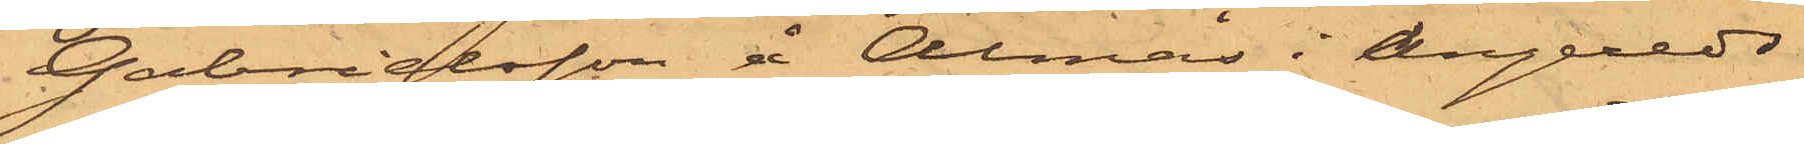Gabrielsson å Almås i Angereds
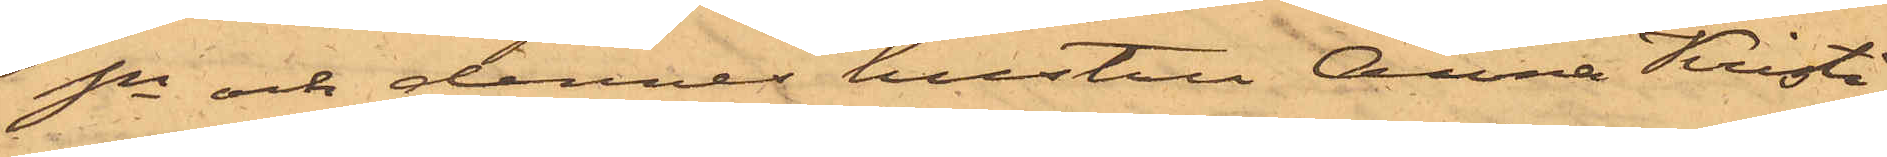Sn och dennes hustru Anna Kristi¬
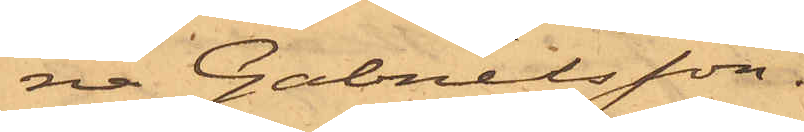na Gabrielsson.
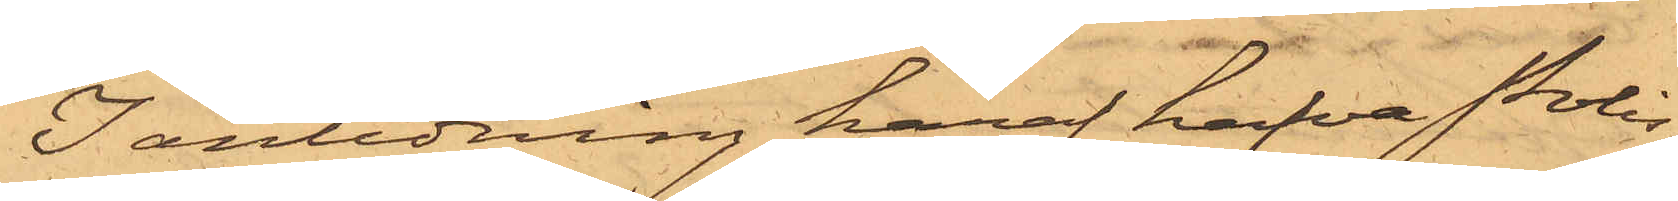I anledning häraf hafva Polis¬
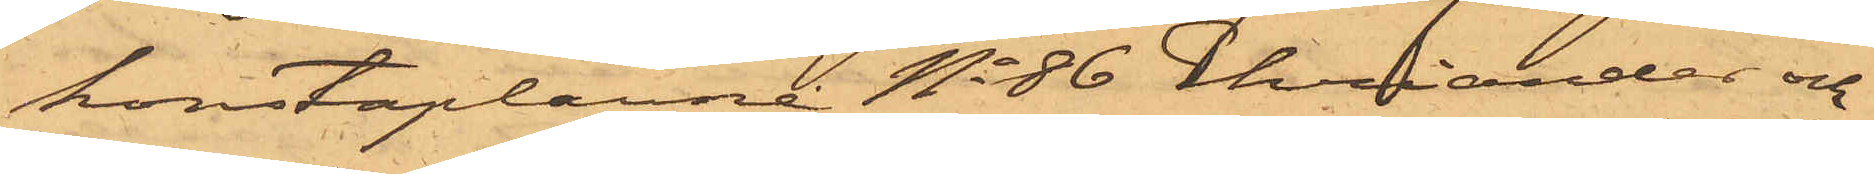konstaplarne No 86 Ehriander och
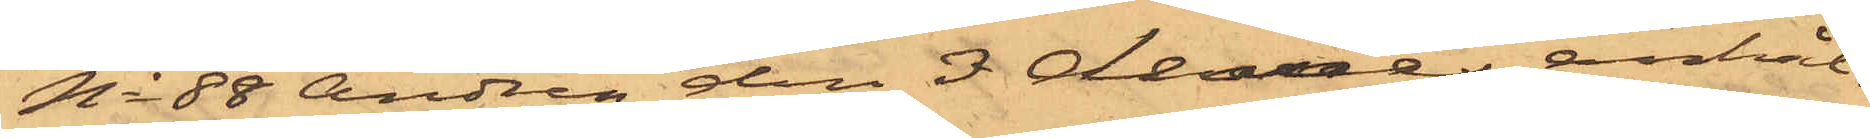No 88 Andrén den 3 dennes anhål¬
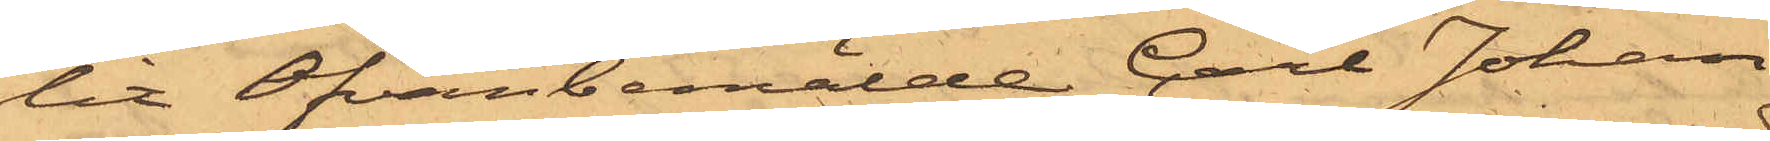lit Ofvanbemälde Carl Johan
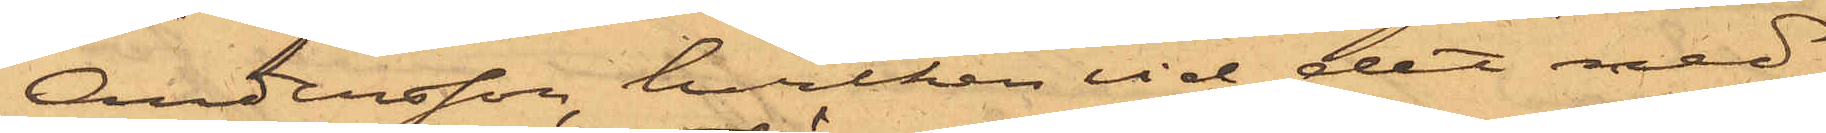Andersson, hvilken vid det med
